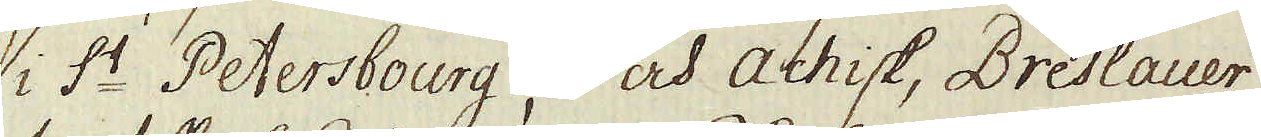i S:t Petersbourg, och Achisk, Breslauer
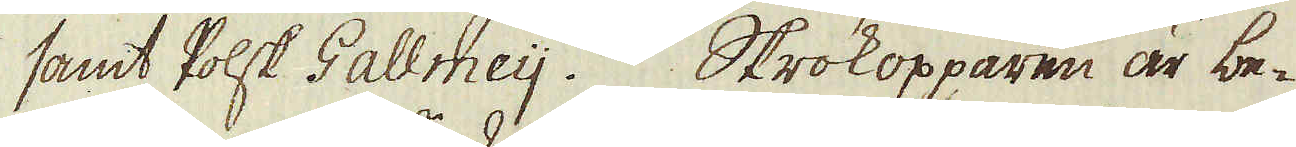samt Polsk Gallmeij. Skrokopparen är be-
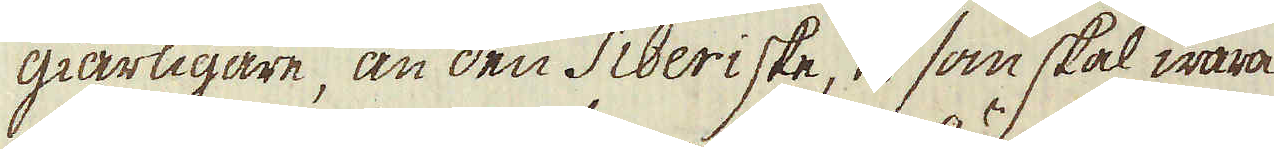giärligare, än den Siberiske, som skal wara
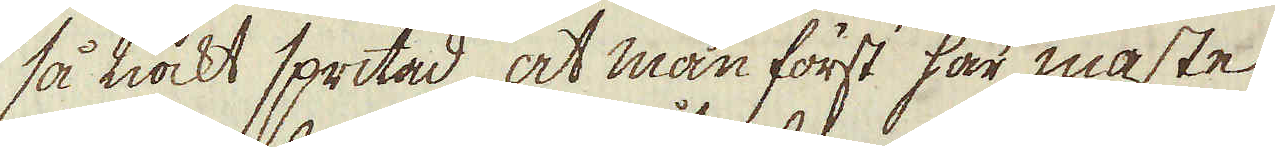så tiockt spritad, at man först här måste
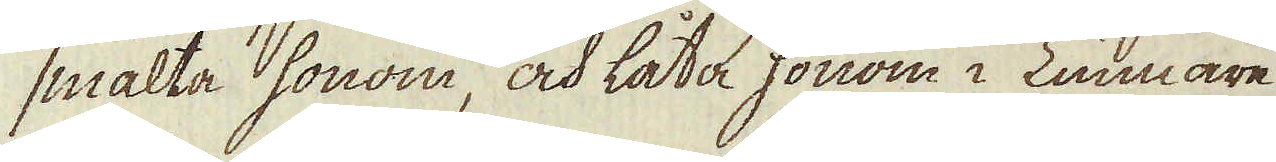smälta honom, och låta honom i Tunnare
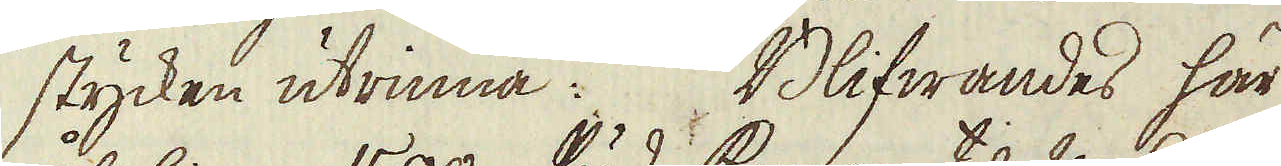stycken utrinna. Blifwandes här
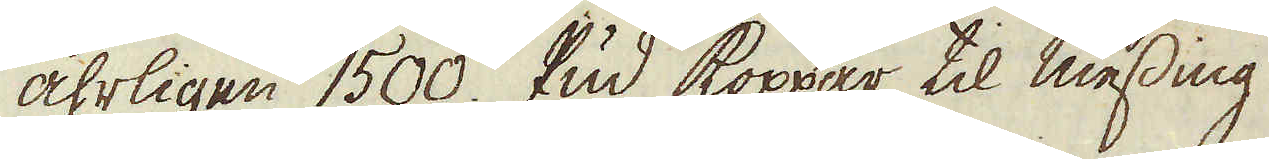åhrligen 1500. Pud Koppar til messing
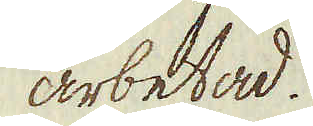arbetad.
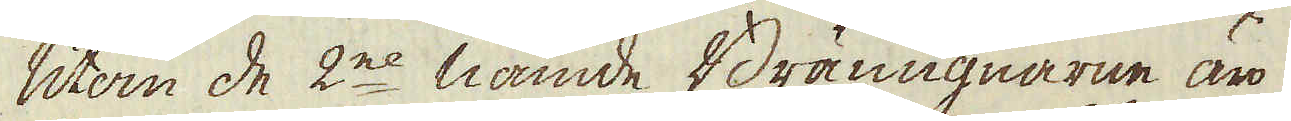Utom de 2ne nämde Brännugnarne äro
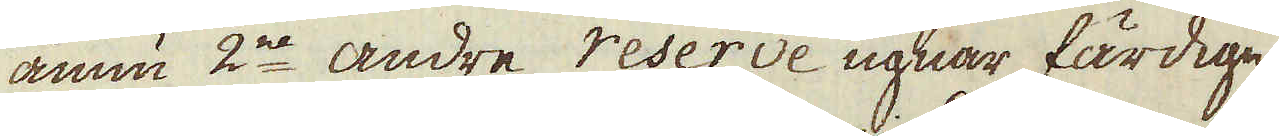ännu 2ne andre reserve ugnar färdige
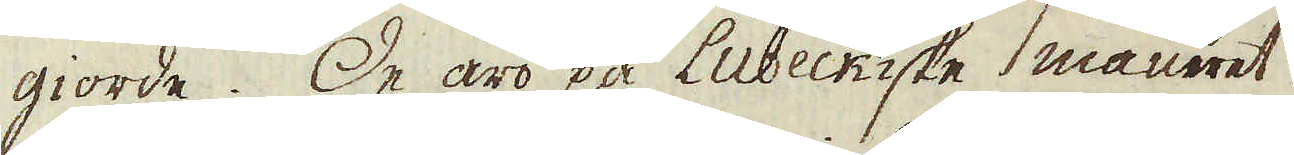giorde. De äro på Lübeckiske maneret
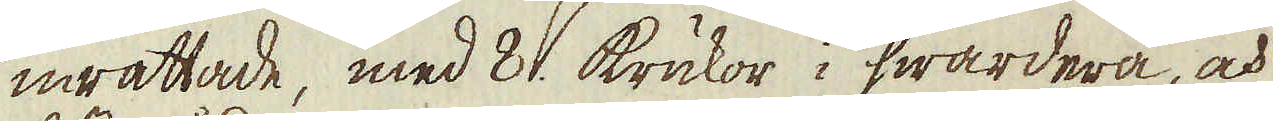inrättade, med 8. krukor i hwardera, och
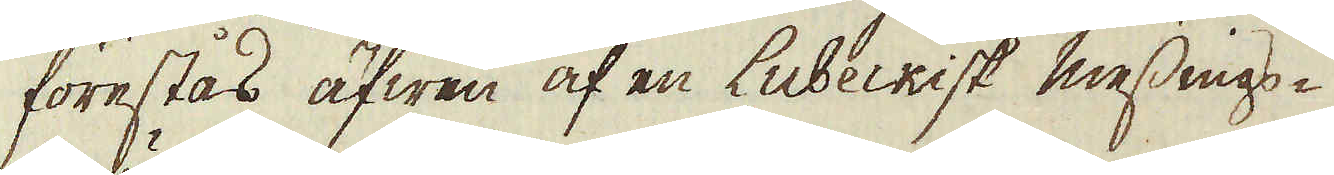förestås äfwen af en Lübeckisk messings-
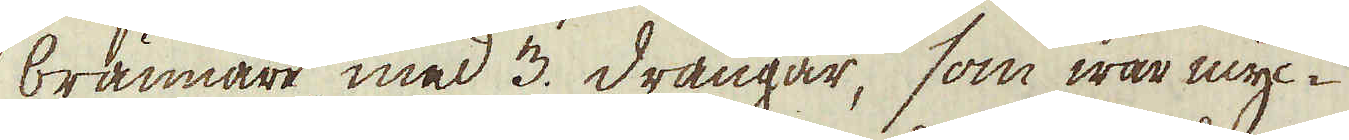brännare med 3. drängar, som war myc-
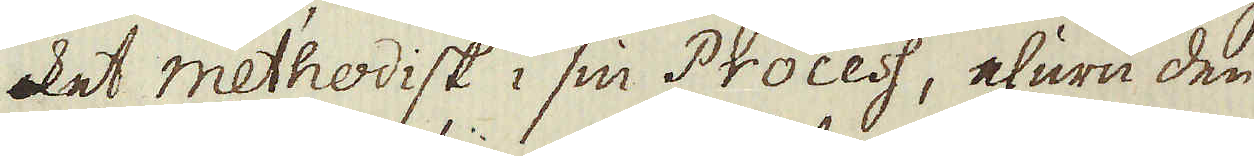ket methodisk i sin Process, ehuru den
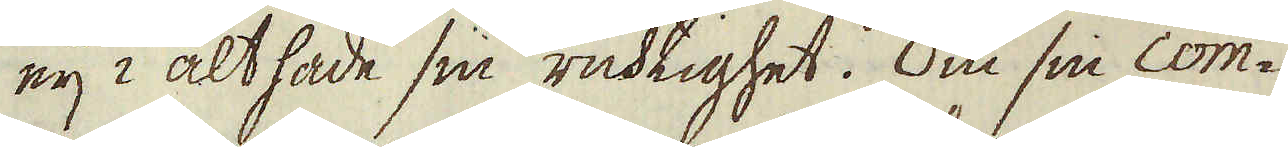eij i alt hade sin ricktighet. Om sin com-
